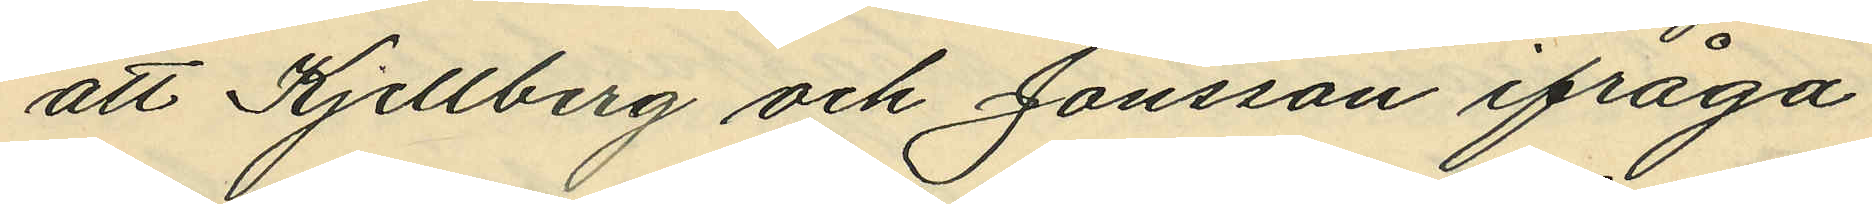att Kjellberg och Jonsson ifråga¬
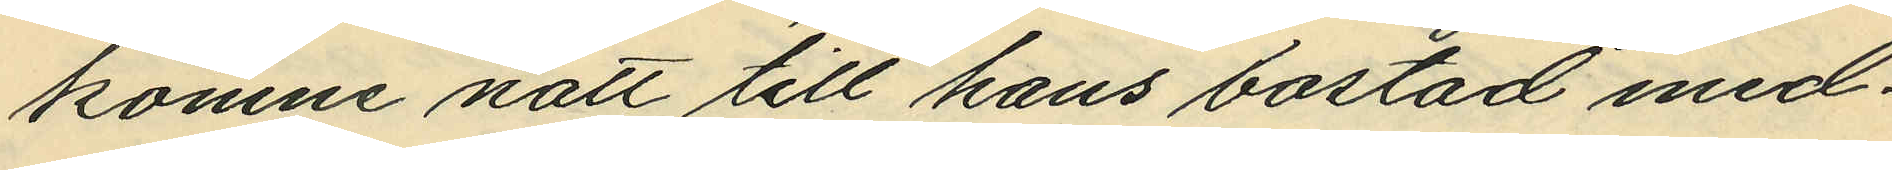komne natt till hans bostad med¬
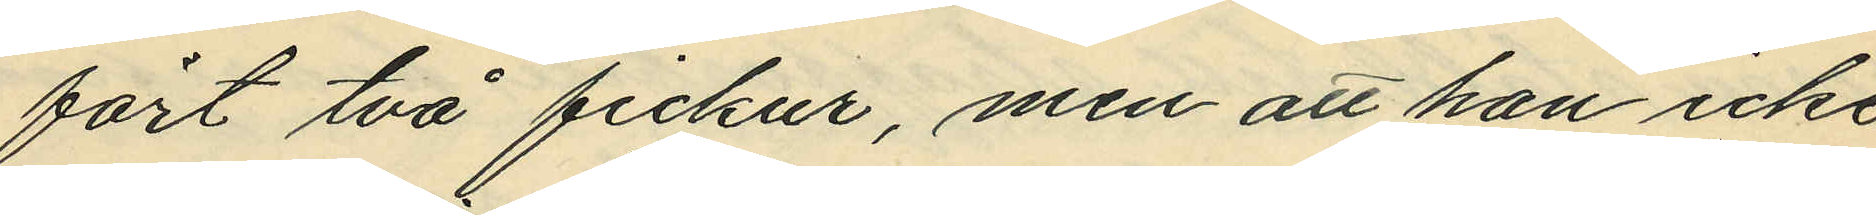fört två fickur, men att han icke
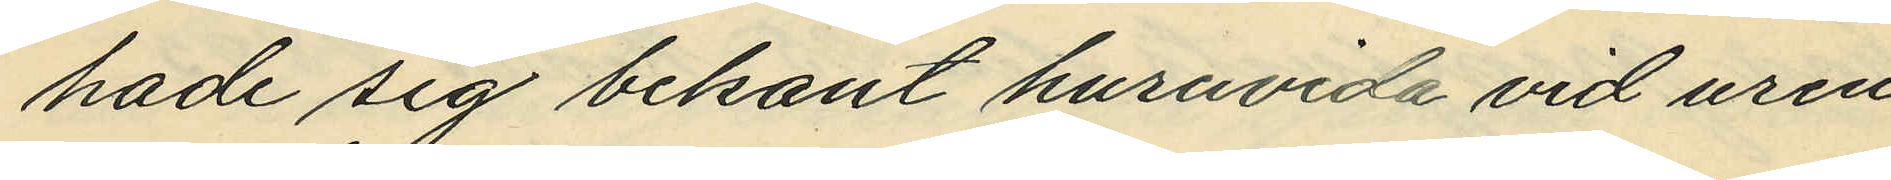hade sig bekant huruvida vid uren
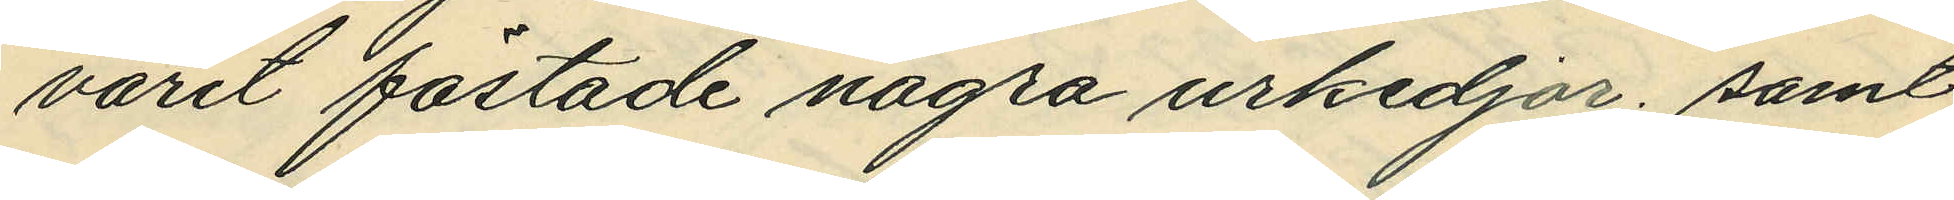varit fästade några urkedjor; samt
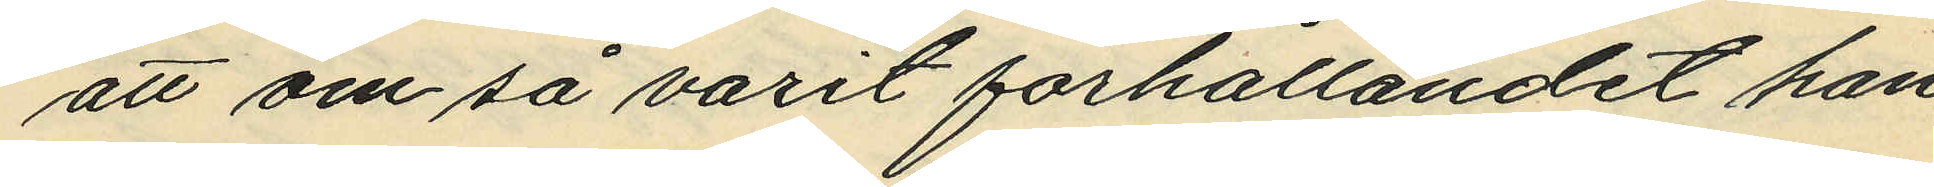att om så varit förhållandet han
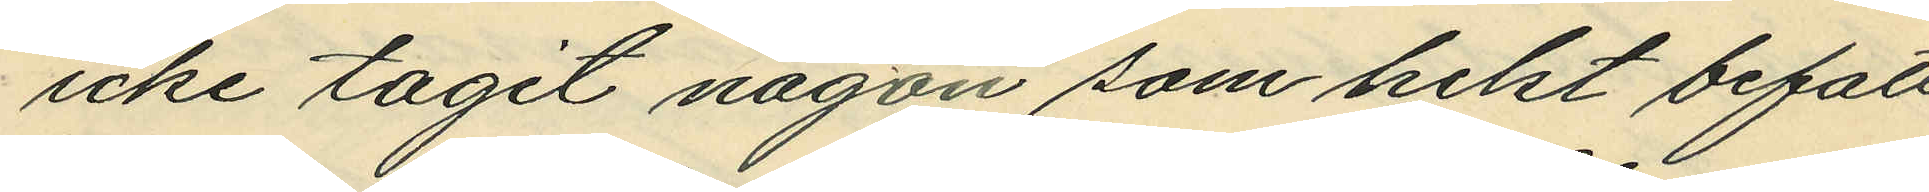icke tagit någon som helst befatt¬
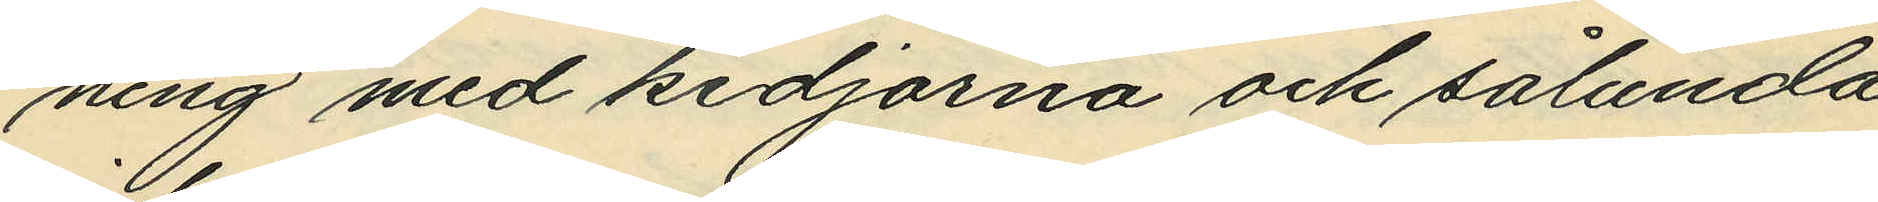ning med kedjorna och sålunda
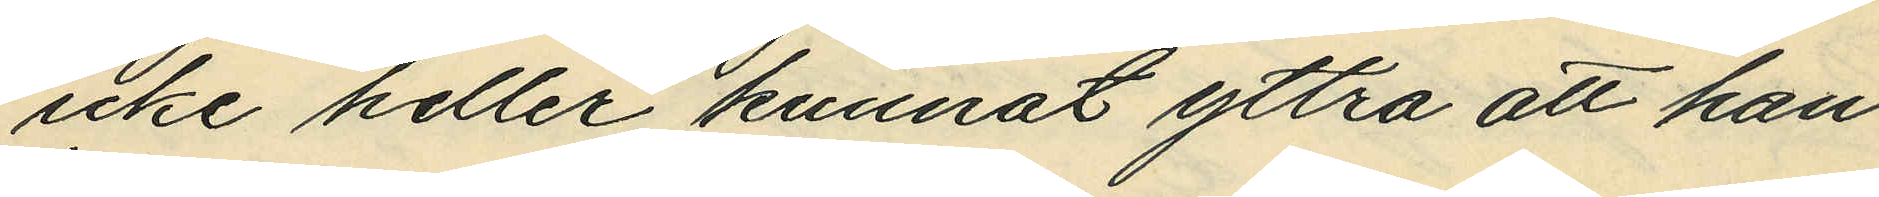icke heller kunnat yttra att han
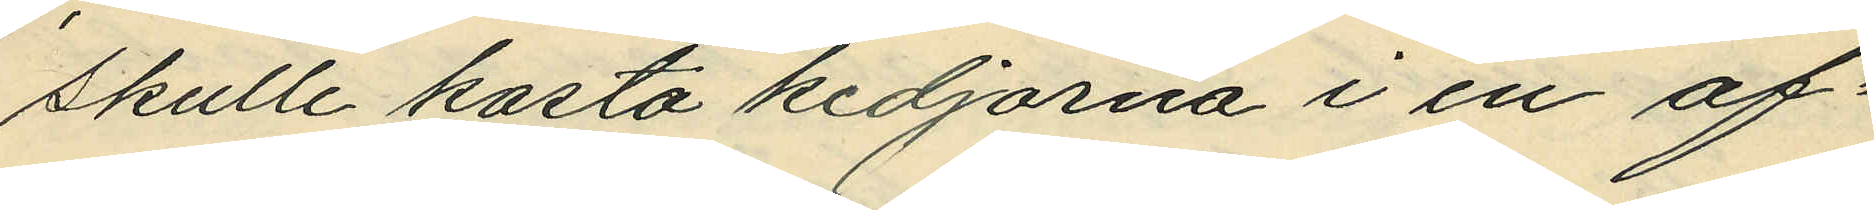skulle kasta kedjorna i en af¬
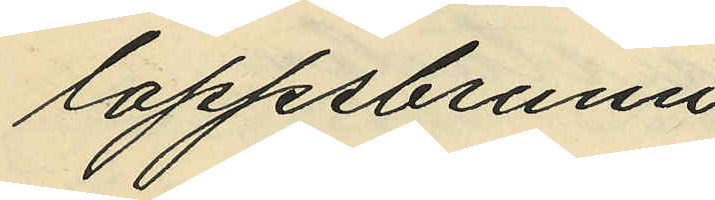loppsbrunn.
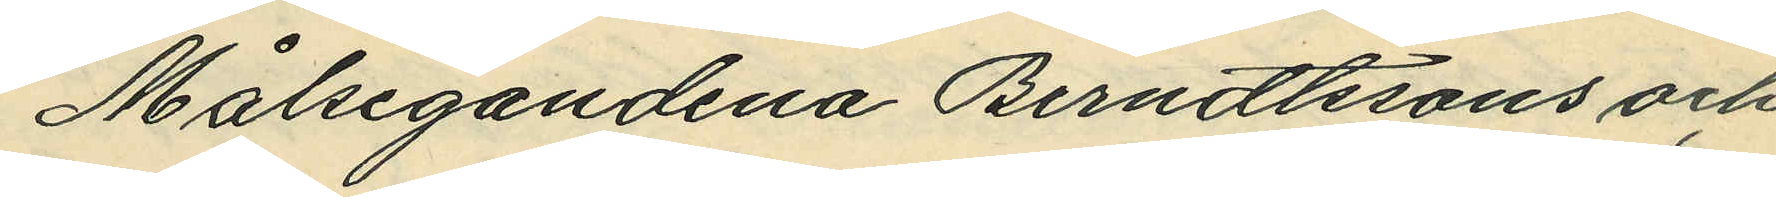Målsegandena Berndtssons och
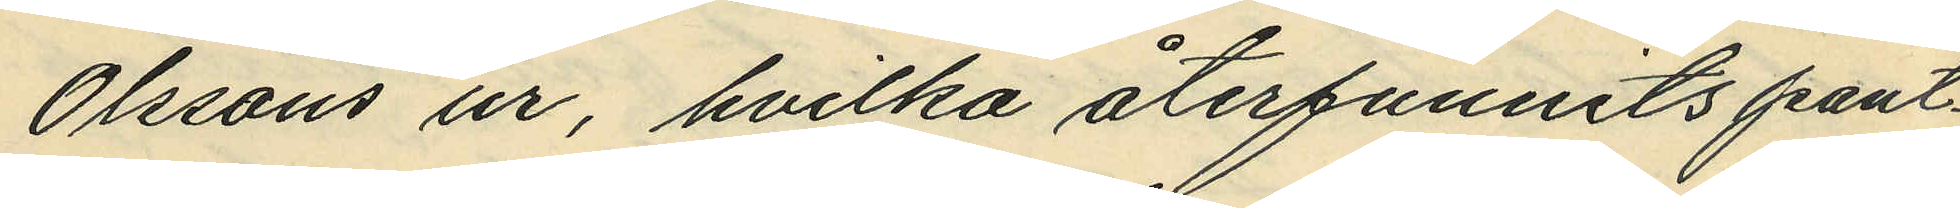Olssons ur, hvilka återfunnits pant¬
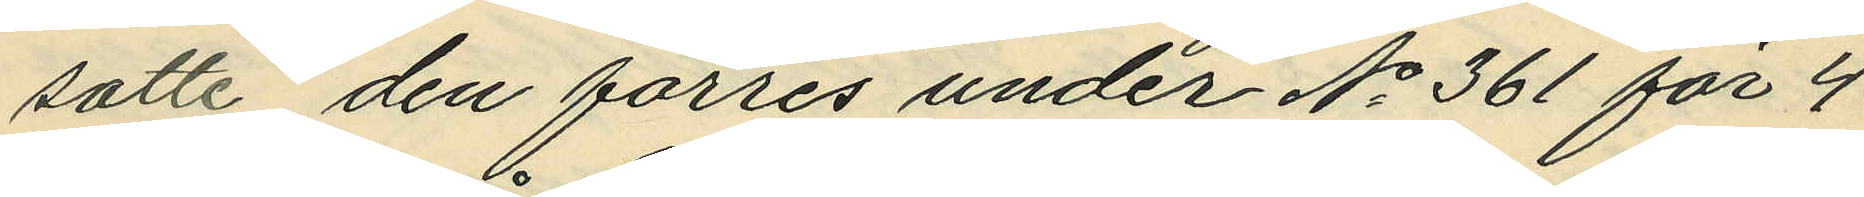satte, den förres under No 361 för 4
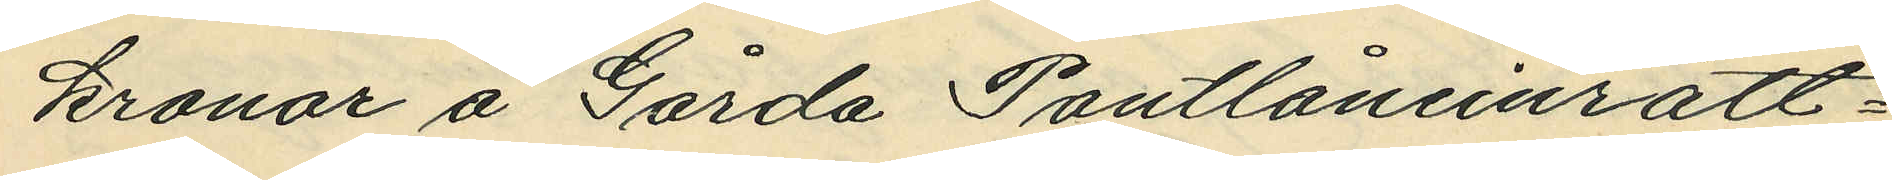kronar å Gårda Pantlåneinrätt¬
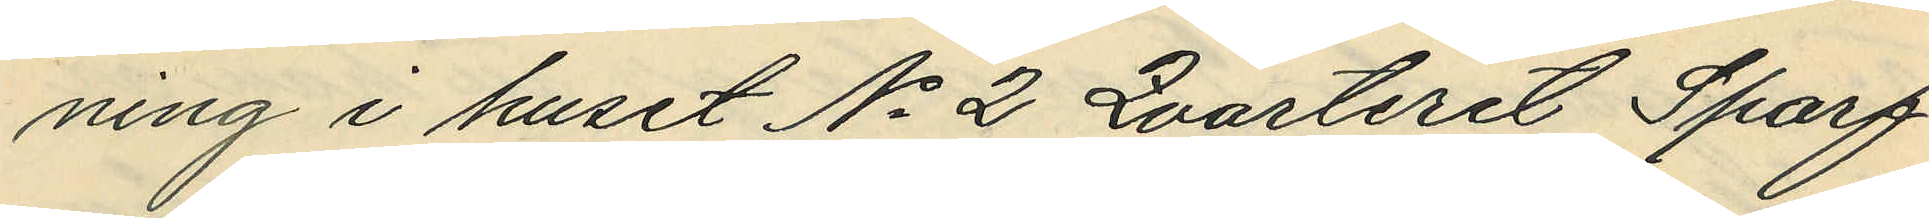ning i huset No 2 Qvarteret Sparf¬
